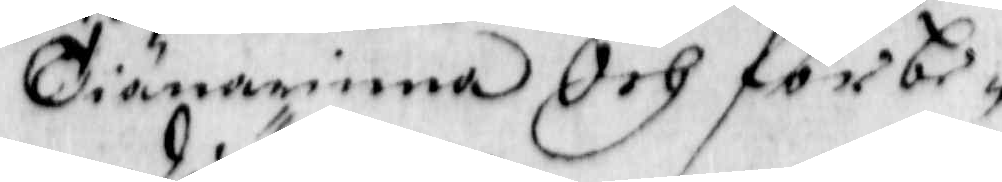Tiänarinna Och förbe¬
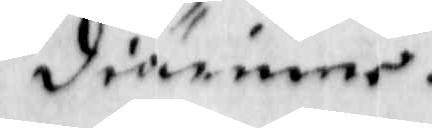diärinne.
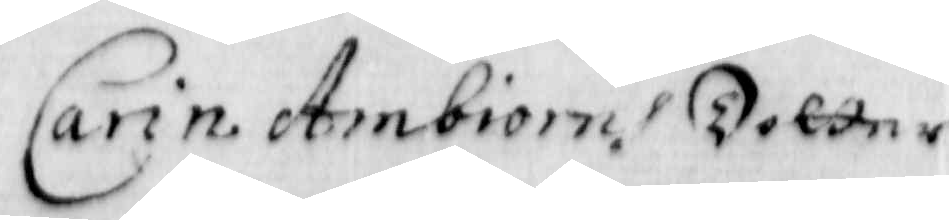Carin Ambiorns Dotter
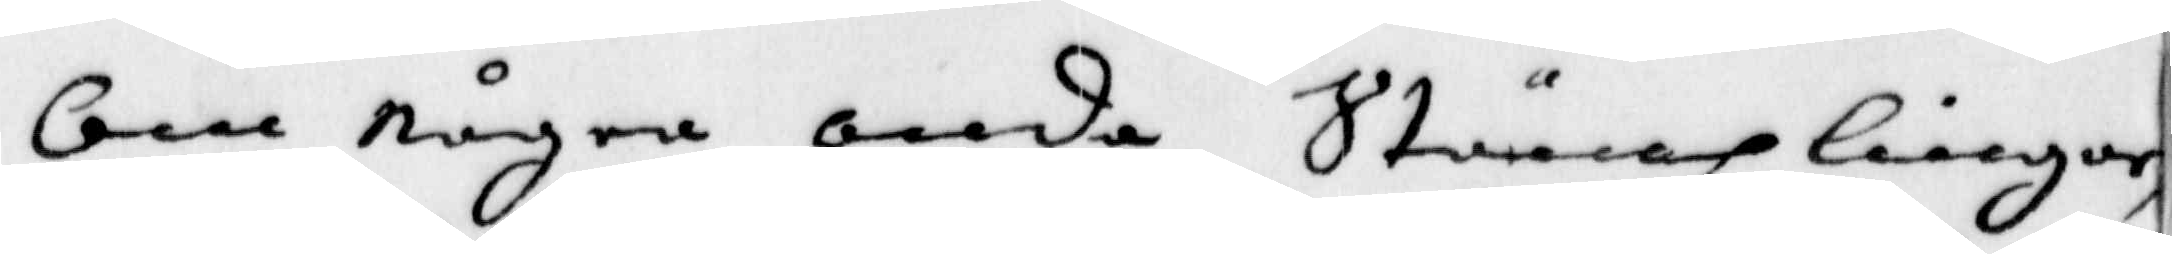om några onda stämplingar,
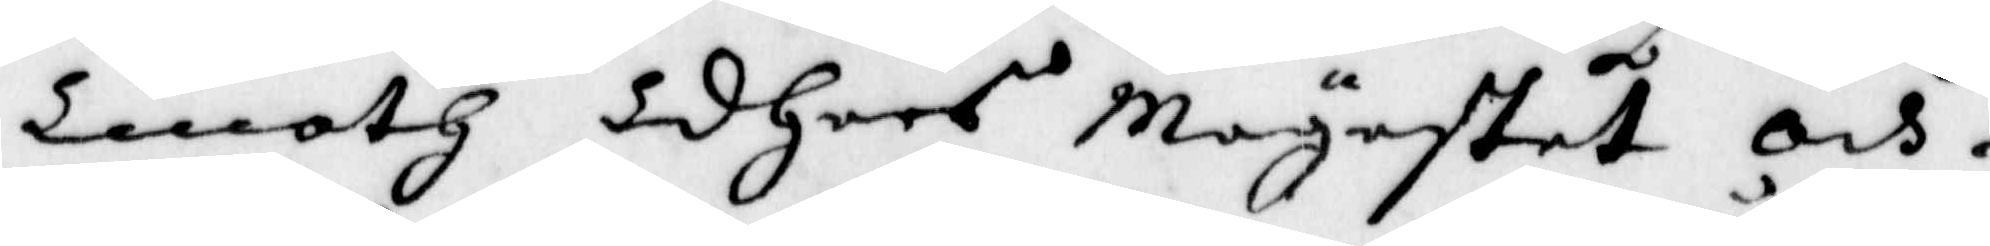Emoth Edhers Mayestet och
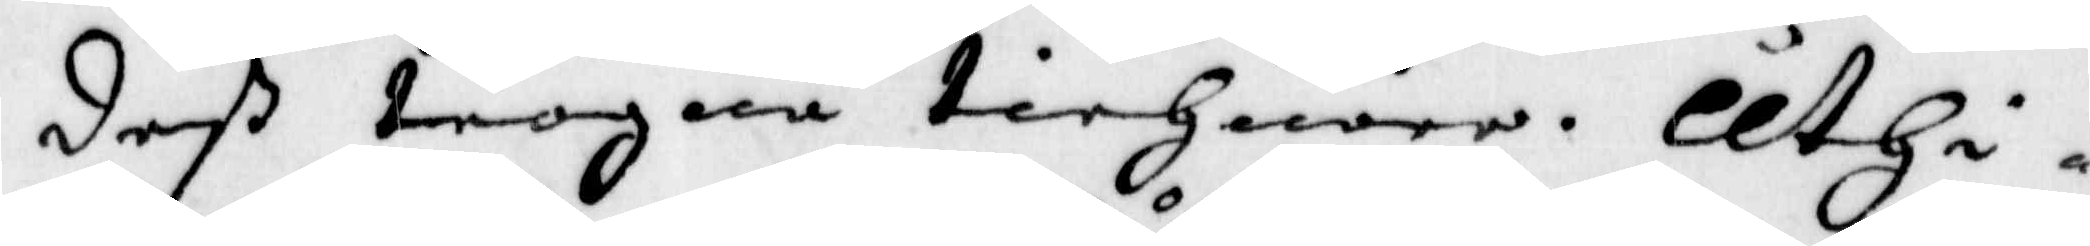deß trogna tiehnare. Uthi
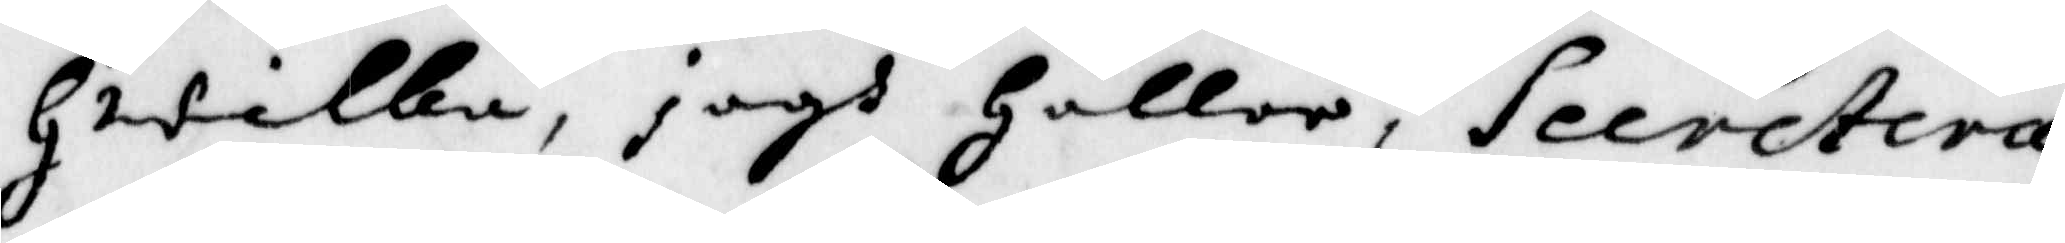Hwilka, jagh Håller, Secretera¬
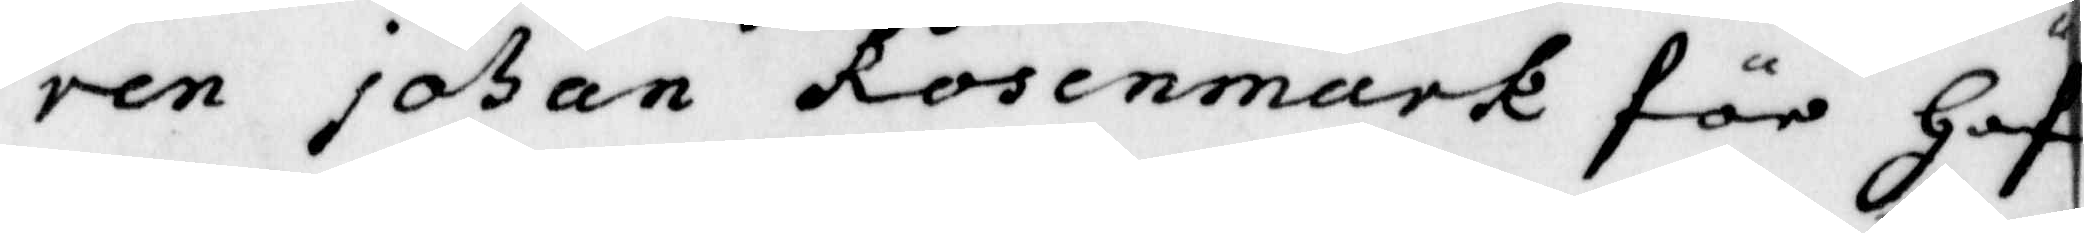ren Johan Rosenmark för Haf¬
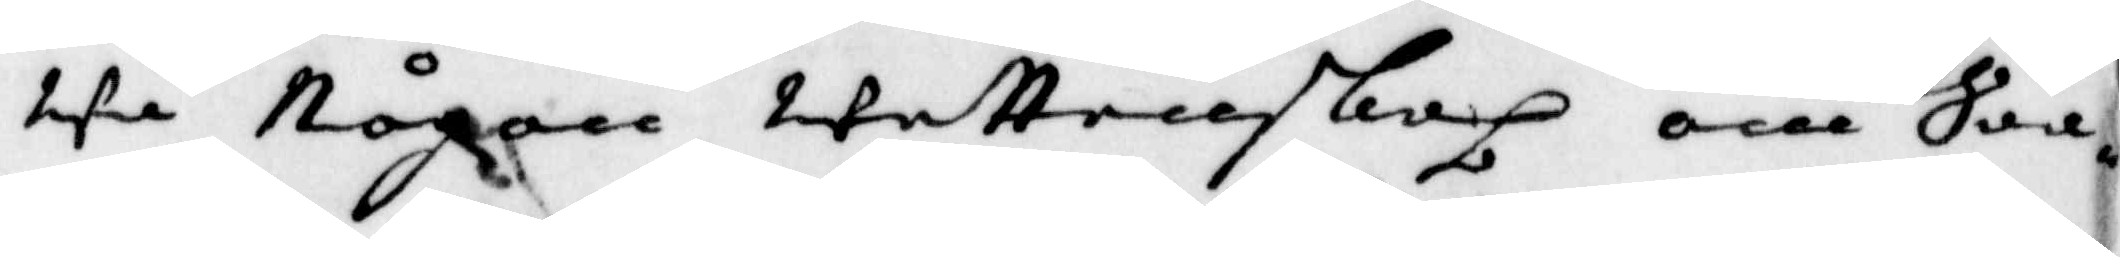wa någon wettenskap om Saa¬
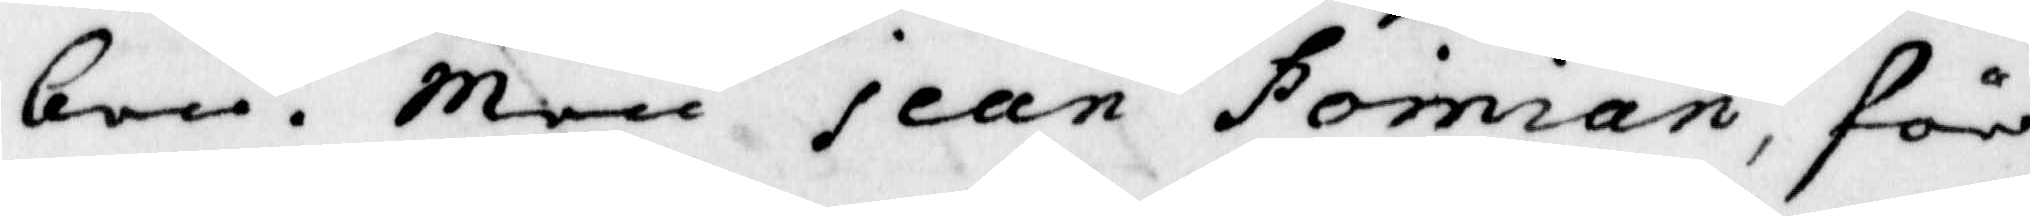ken. Men jean Poinian, för
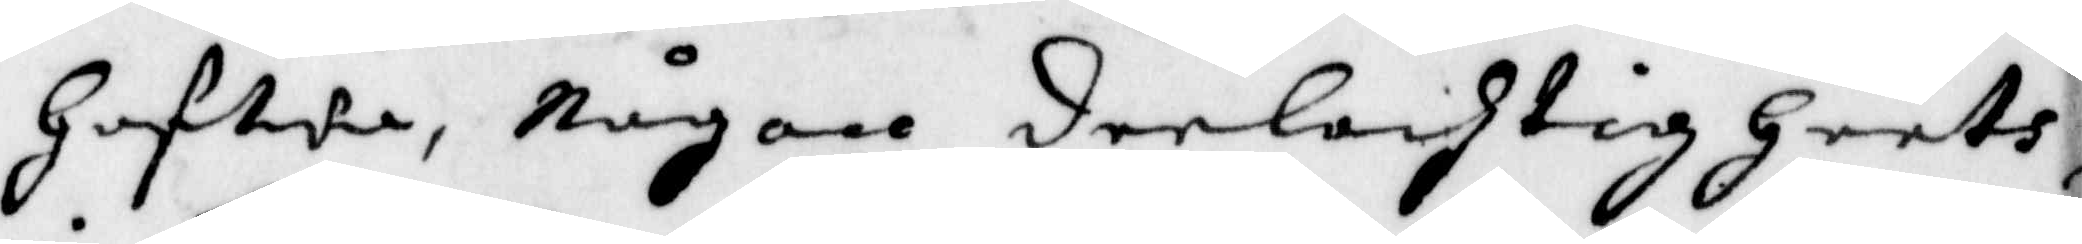Hafwa, Någon deelachtigheeth
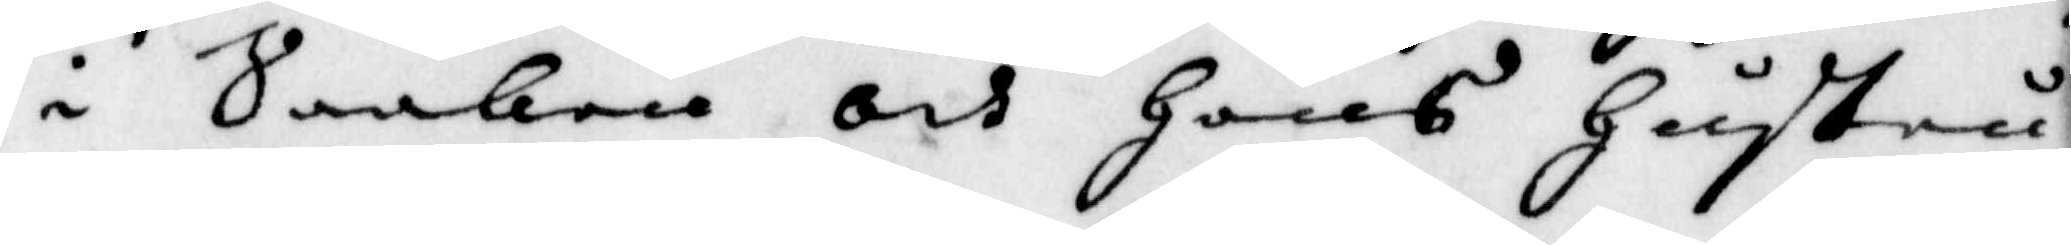i Saaken och Hans Hustru
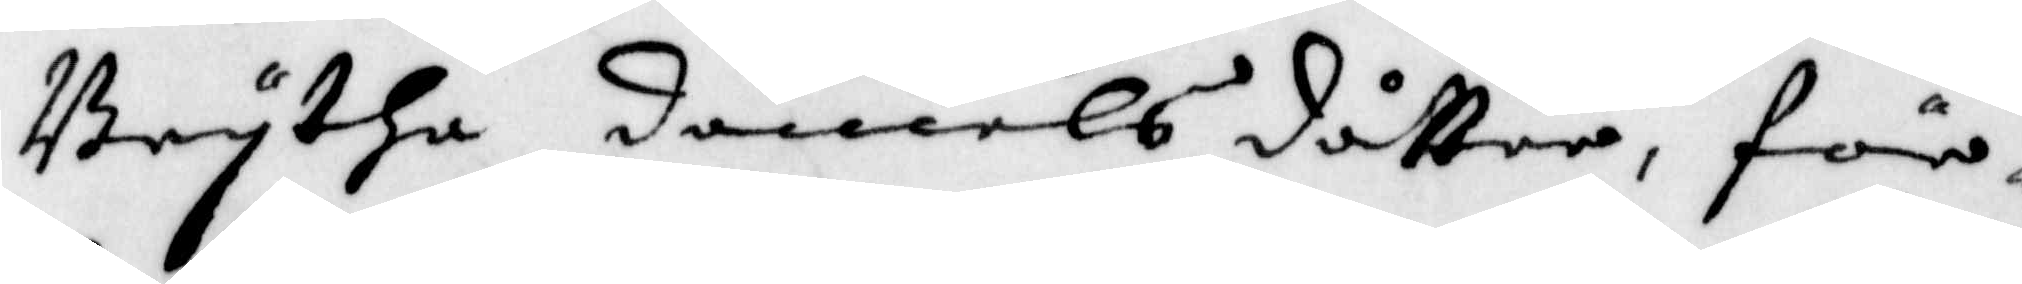Brytha Daniels dåtter, för
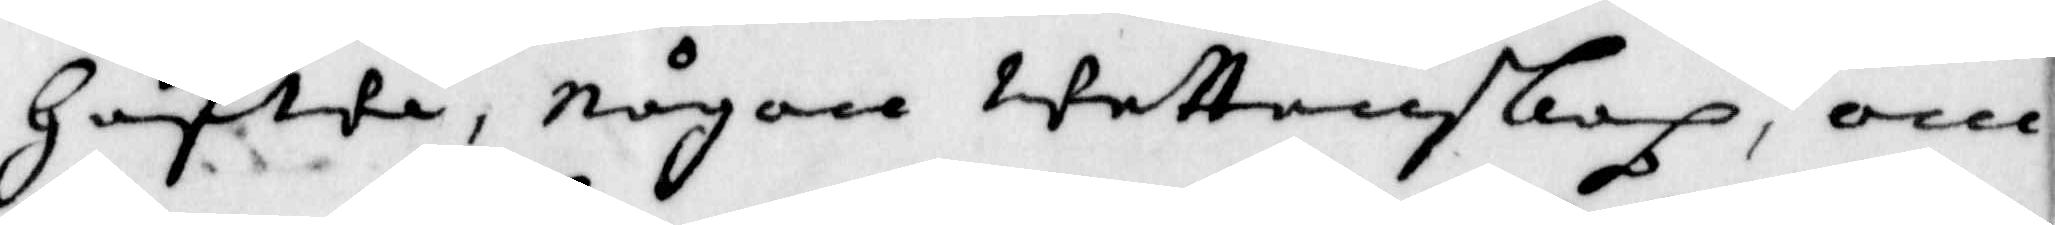Hafwa, någon wettenskap, om
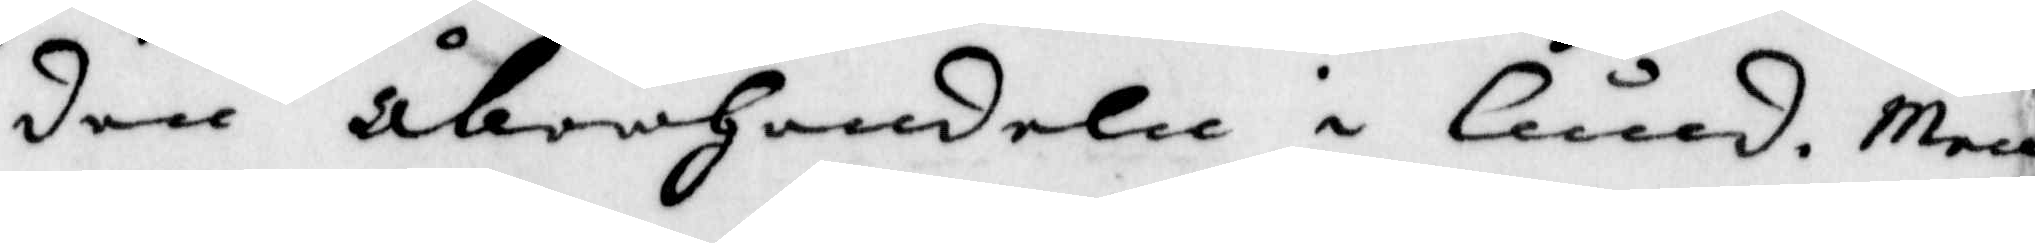den åberHandeln i Lund. Men
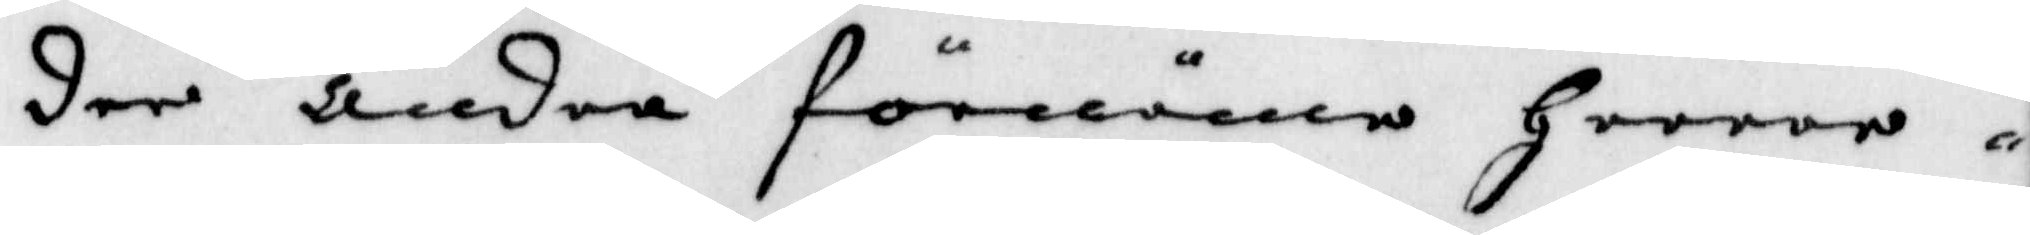dee andra förnäma Herror
